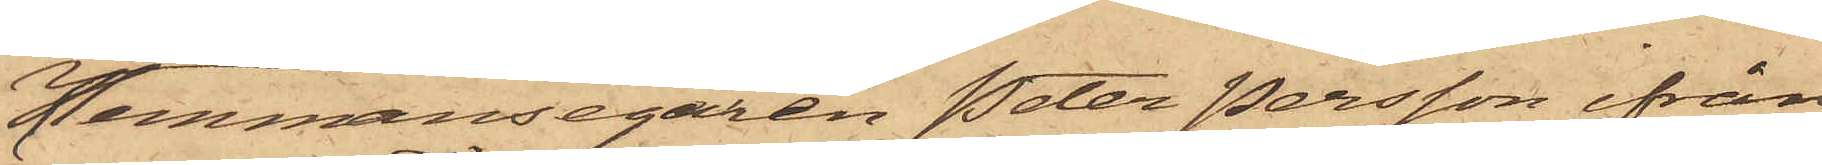Hemmansegaren Peter Persson ifrån
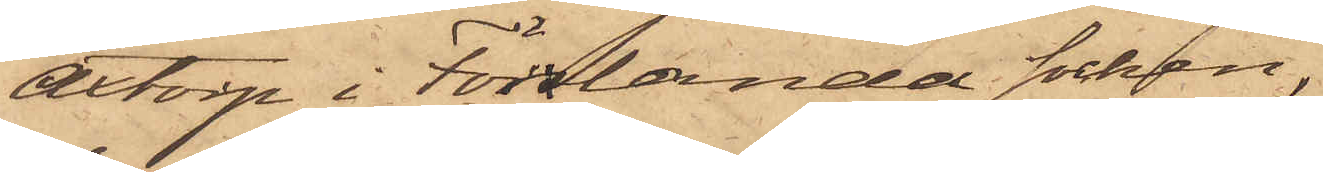Axtorp i Förslanda socken,
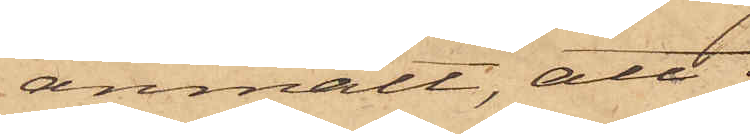anmält, att
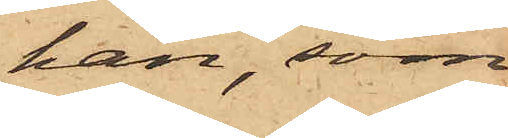han, som
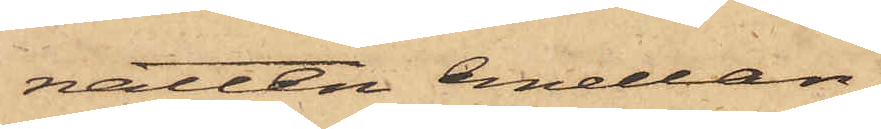natten emellan
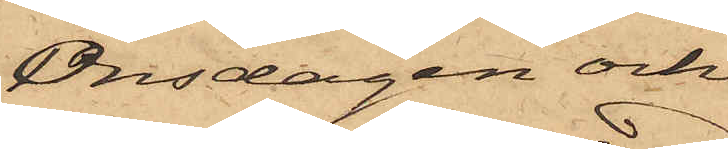Onsdagen och
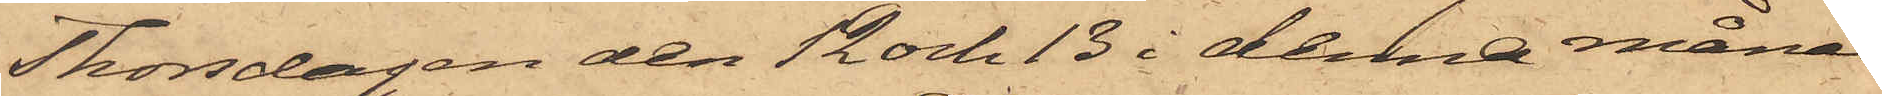Thorsdagen den 12 och 13 i denna månad
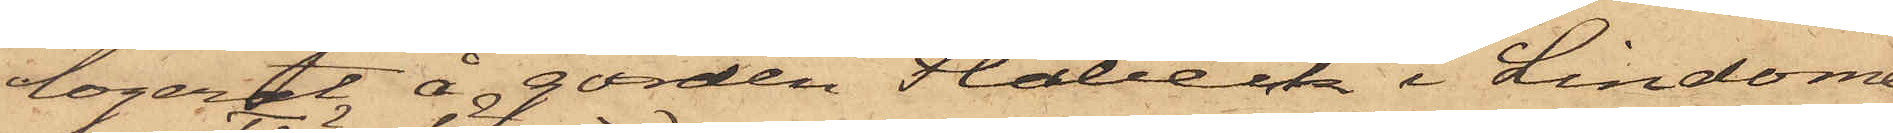logerat å gården Flabeck i Lindome
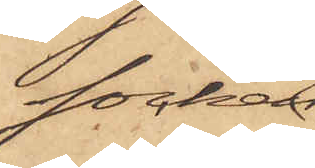Socken
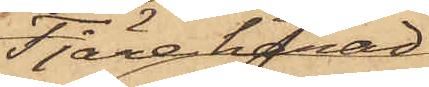Fjäre härad,
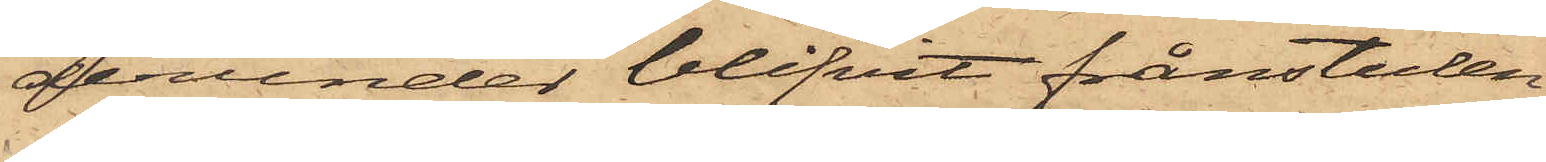derunder blifvit frånstulen
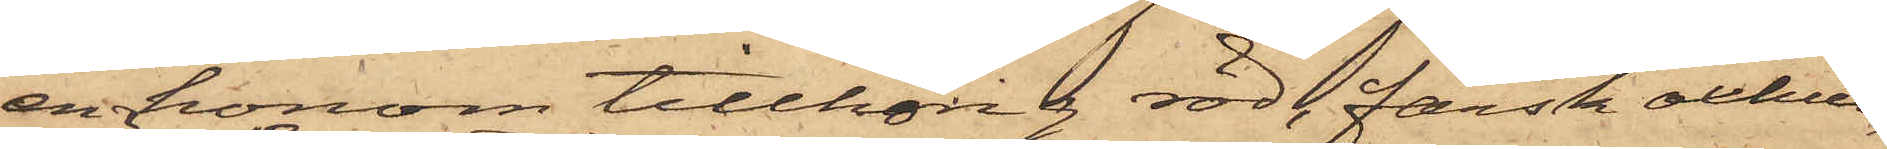en honom tillhörig röd, färsk oxhud,
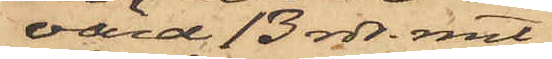värd 13 rdr. rmt
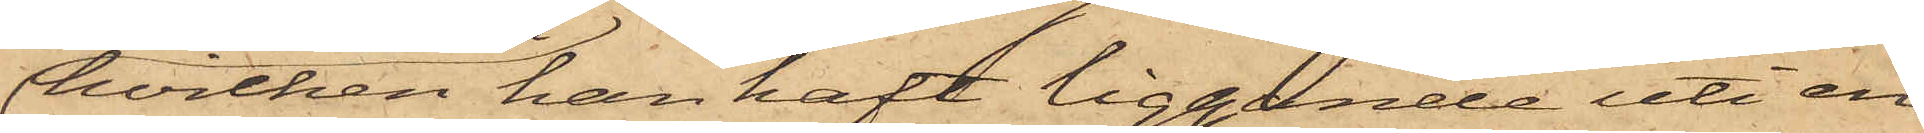hvilken han haft liggande uti en
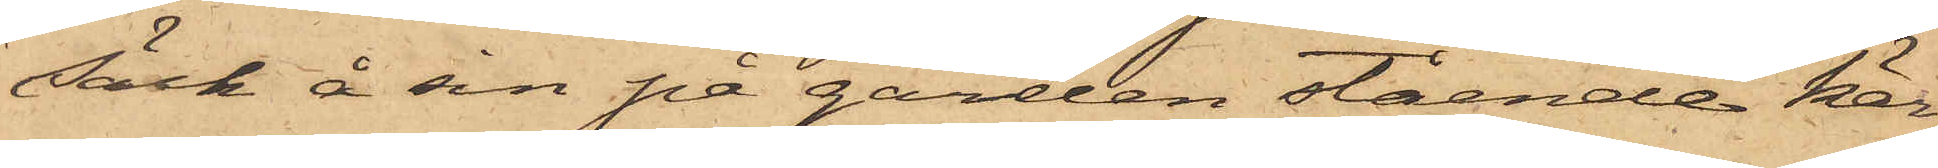säck å sin på gården stående kär¬
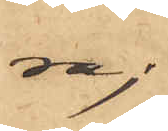ra;
